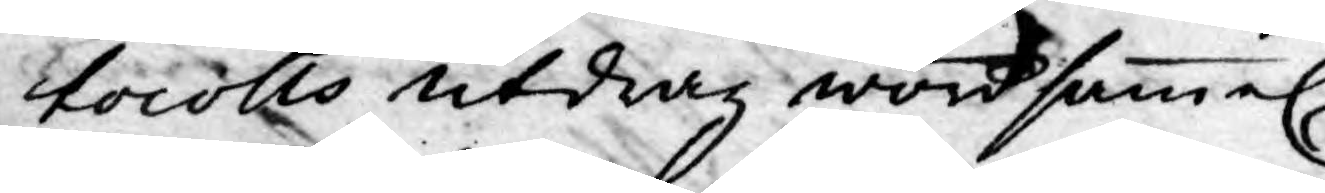ctocolls utdrag wördsammel.
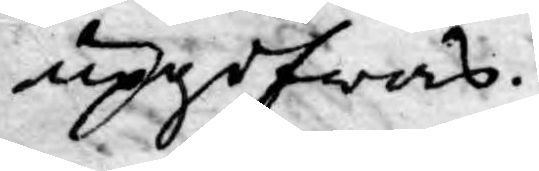upgifwas.
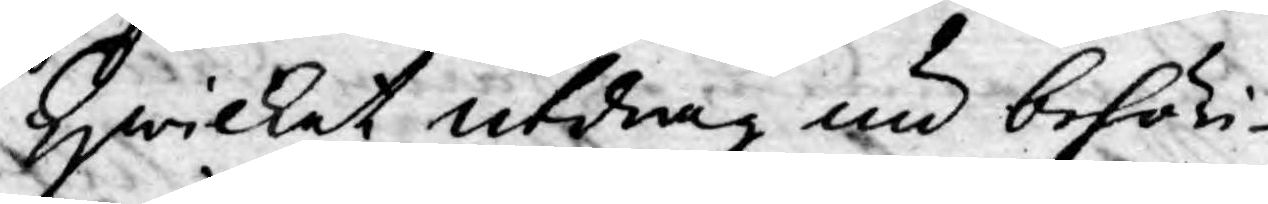Hwilket utdrag nu behöri¬
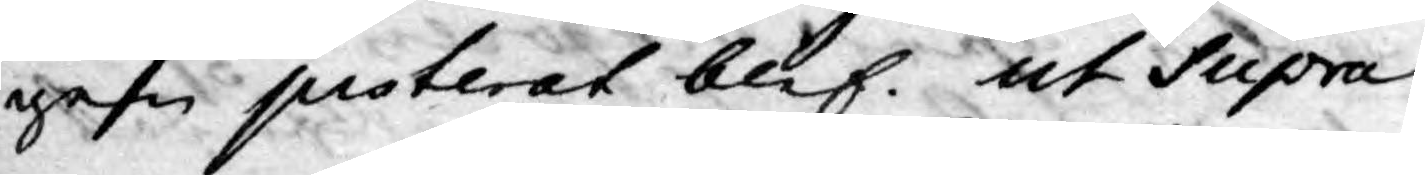gen justerat blef. ut Supra
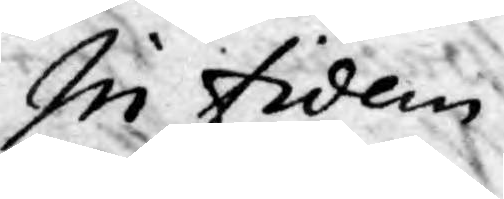In fidem
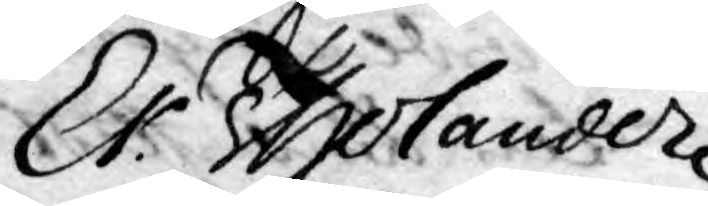Er. Tholander
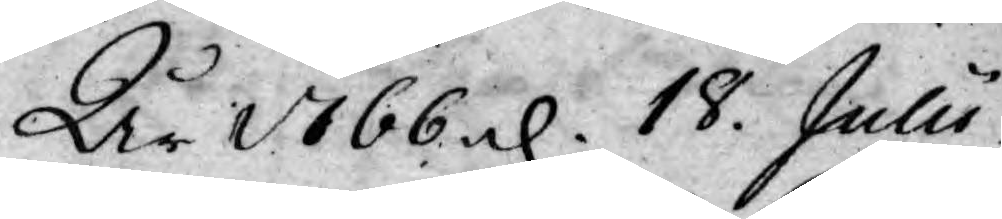År 1766 d. 18. Julii
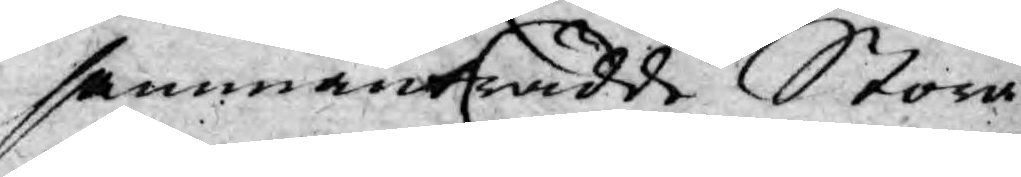sammanträdde Stora
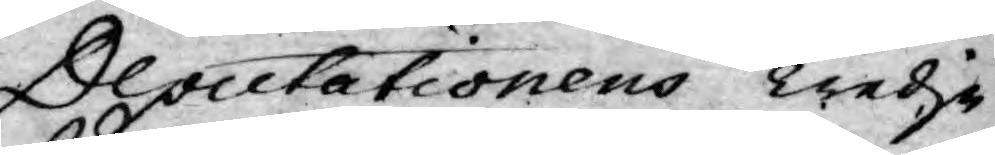Deputationens Tredje
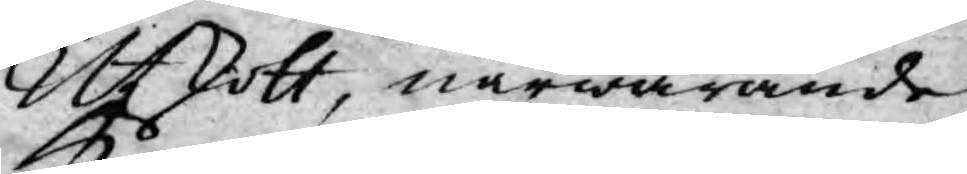Ufkott, närwarande
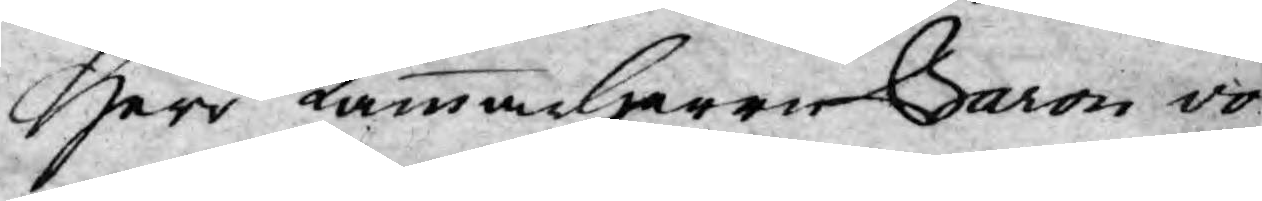Herr Kammarherre Baron vo
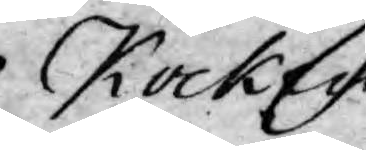Kocken,
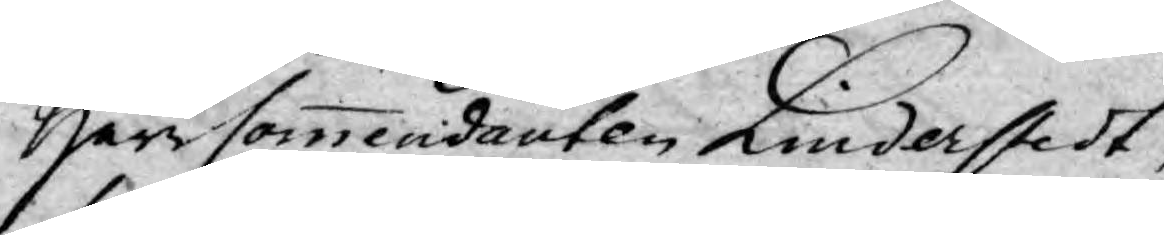Herr Commendanten Linderstedt,
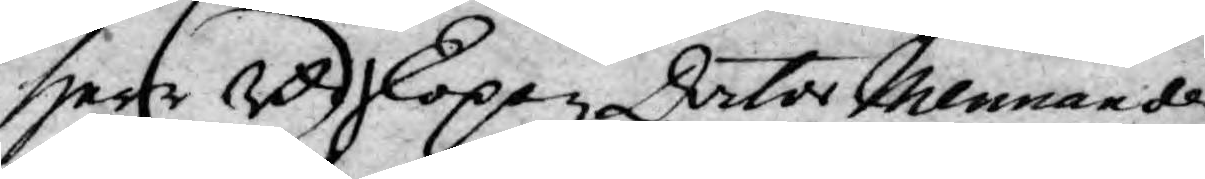Herr Biskopen Doctor Mennande
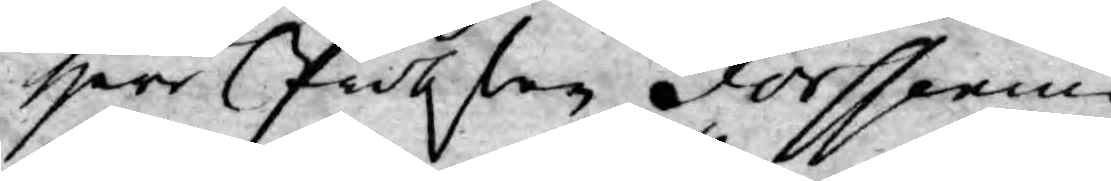Herr Probsten Forssenius,
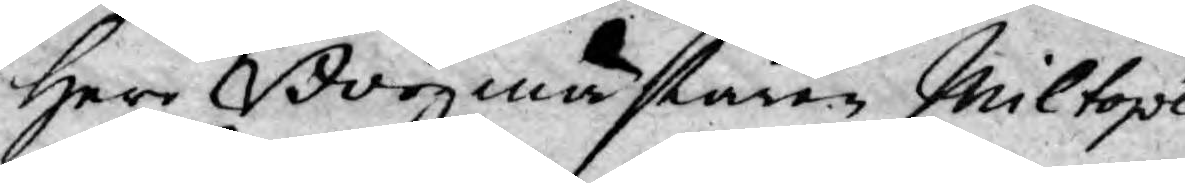Herr Borgmästaren Miltopéu
